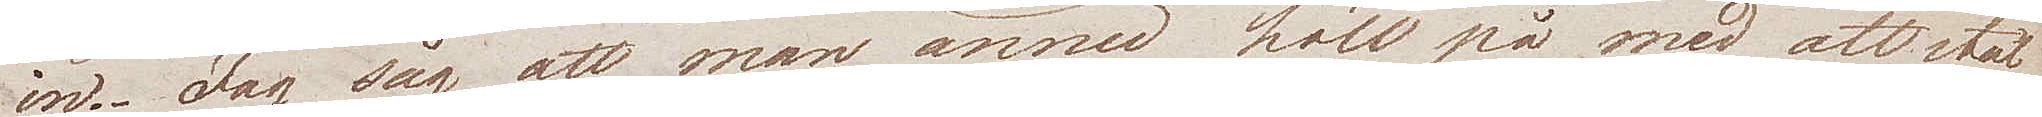in. Jag såg att man ännu höll på med att stäl¬
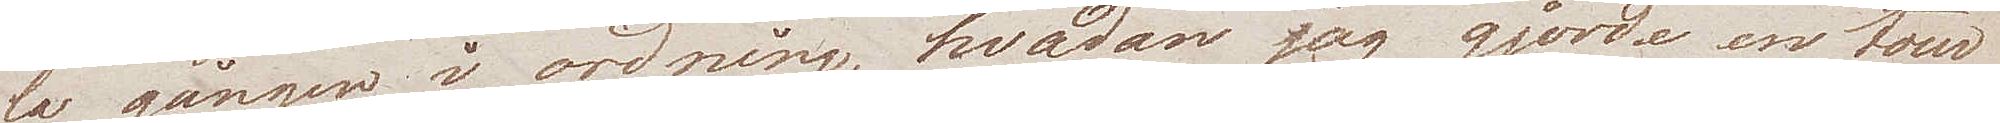la gången i ordning, hvadan jag gjorde en tour
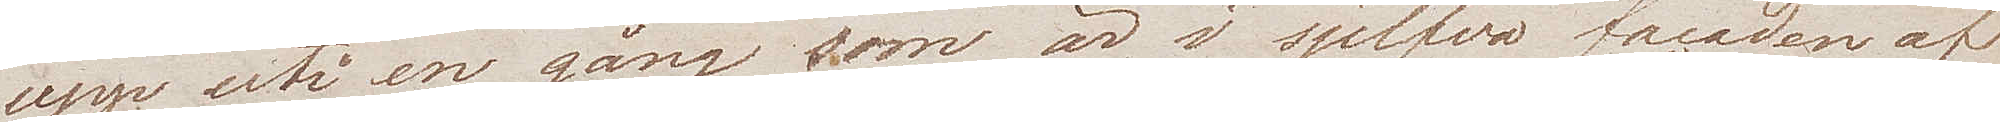upp uti en gång som är i sjelfva facaden af
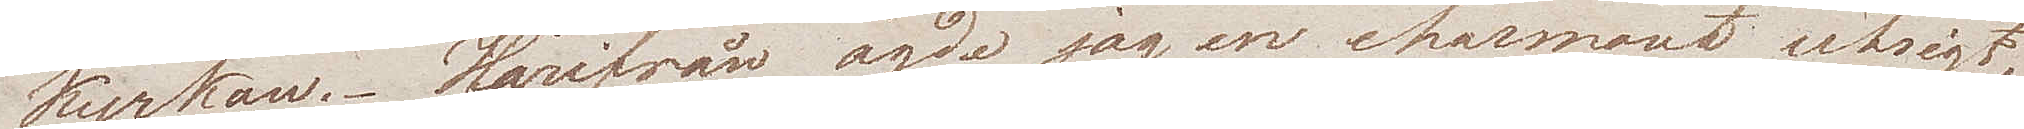kyrkan. Härifrån ägde jag en charmant utsigt,
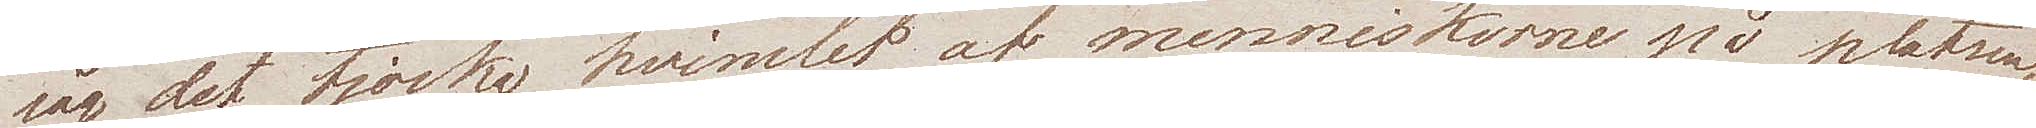såg det tjocka hvimlet af menniskorne på platsen.
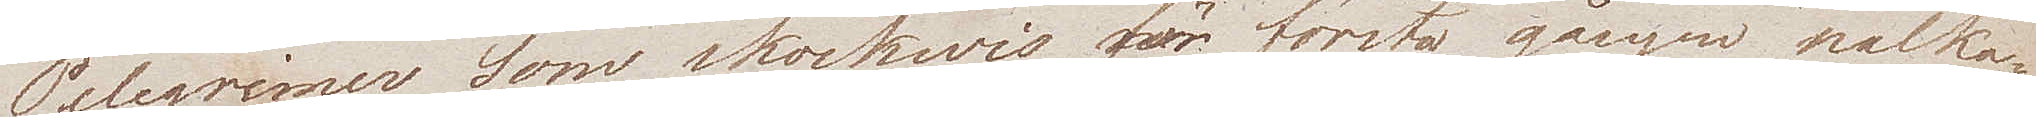Pelegrimer som skockwis för första gången nalka¬
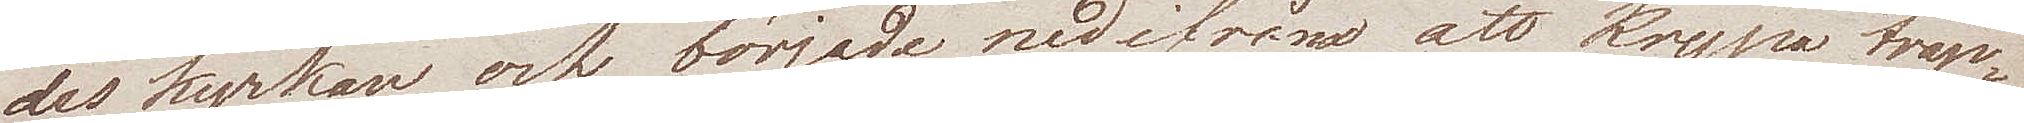des kyrkan, och började nedifrån att krypa trap¬
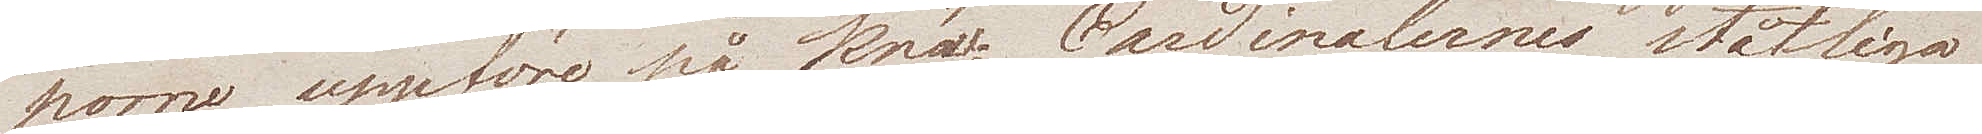porne uppföre på knä; Cardinalernes ståtliga
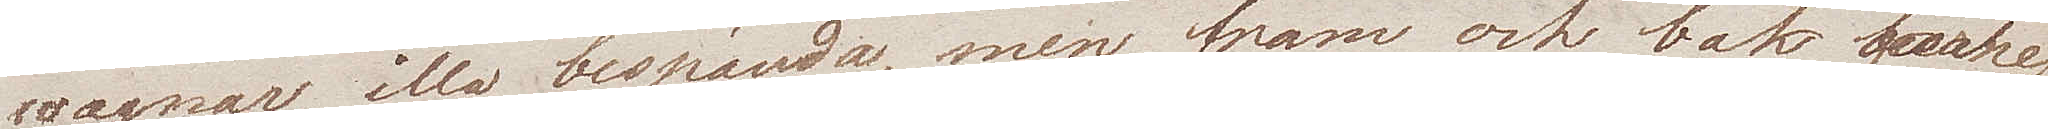wagnar, illa bespända, men fram och bak flanke¬
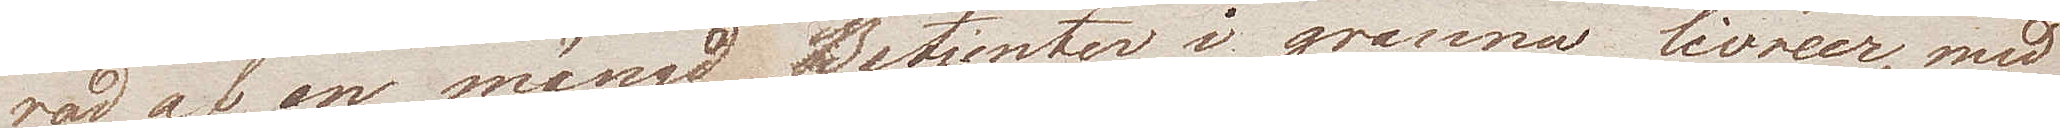rad af en mängd Betjenter i granna livreer, med
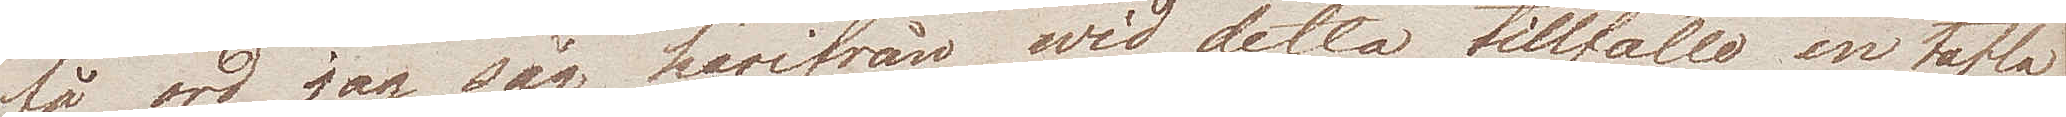få ord jag såg härifrån wid detta tillfälle en tafla
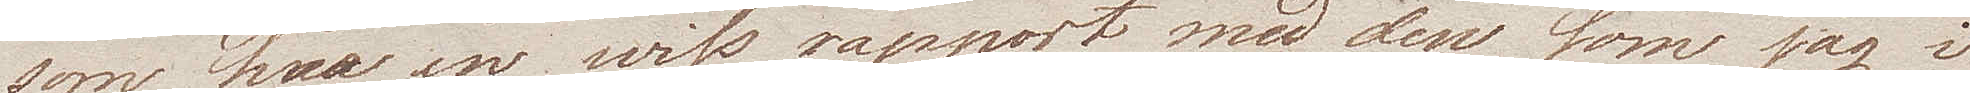som bar en wiss rapport med den som jag i
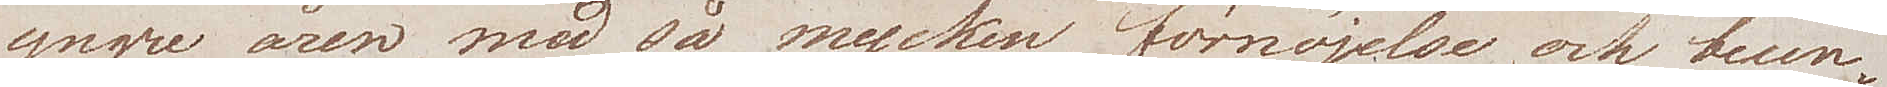yngre åren, med så mycken förnöjelse och beun¬
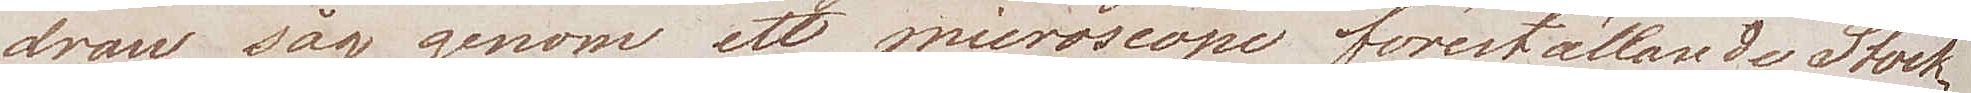dran, såg genom ett microscope föreställande Stock¬
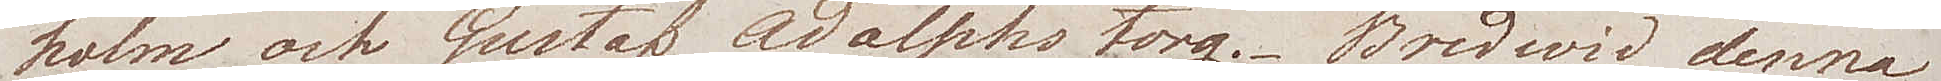holm och Gustaf Adolphs torg. Bredwid denna
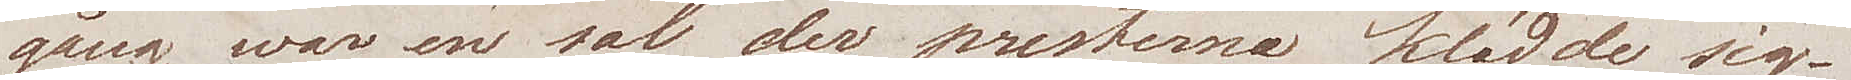gång war en sal der presterna klädde sig.
